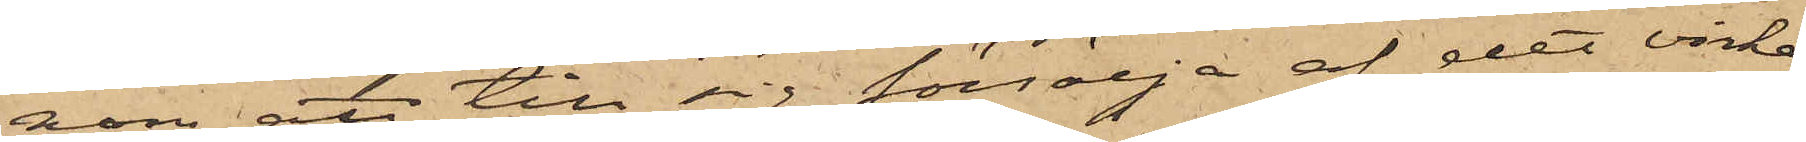nom att till sig försälja af det virke,
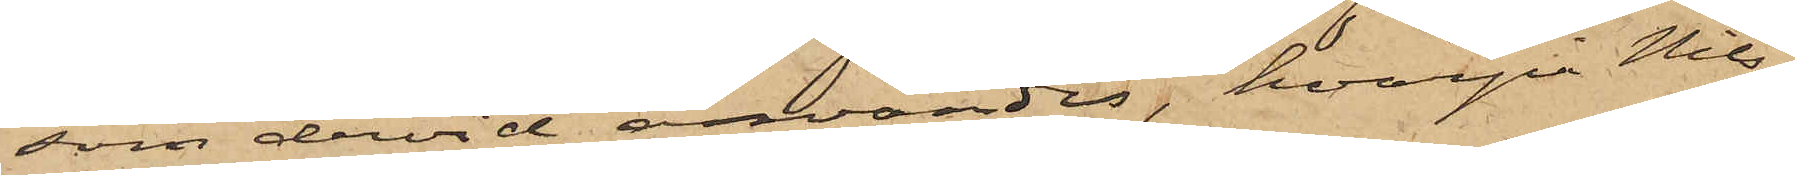som dervid användes, hvarpå Nils¬
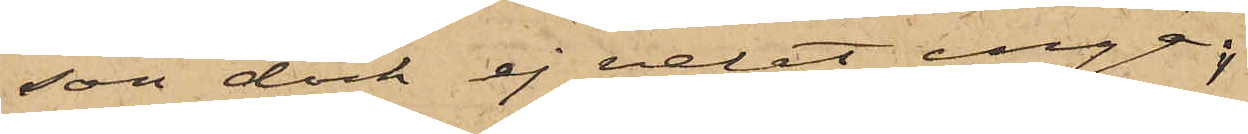son dock ej velat ingå;
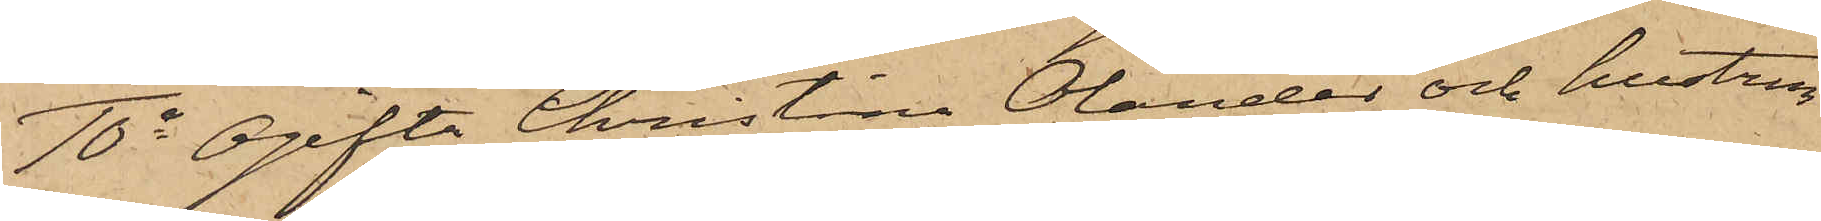10o Ogifta Christina Olander och hustru
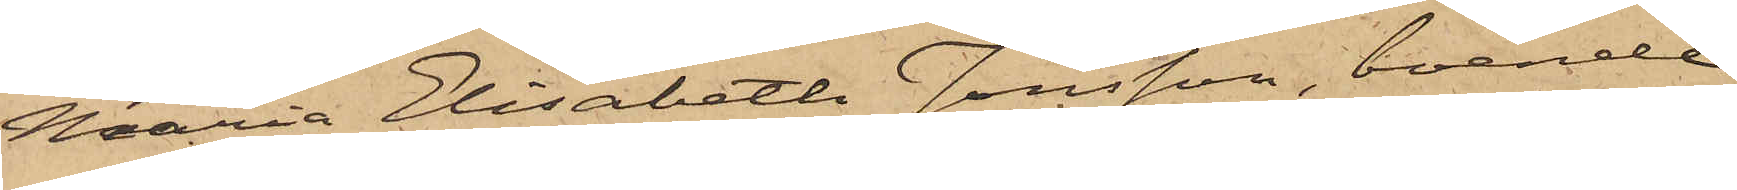Maria Elisabeth Jönsson, boende
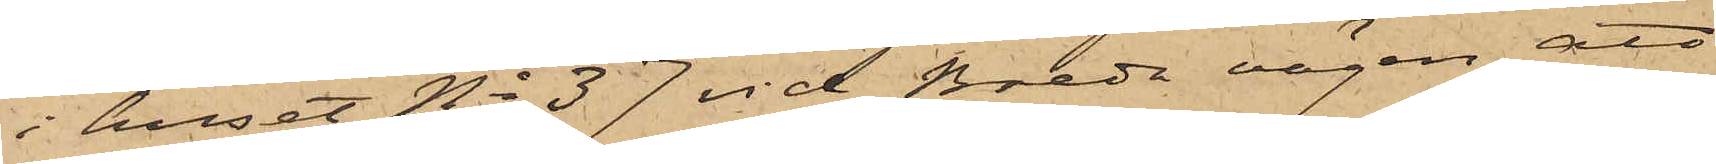i huset No 37 vid Breda vägen, att
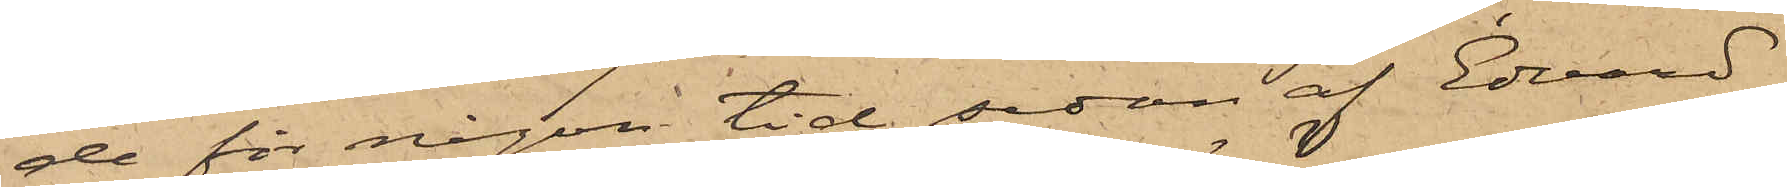de för någon tid sedan af Edvard
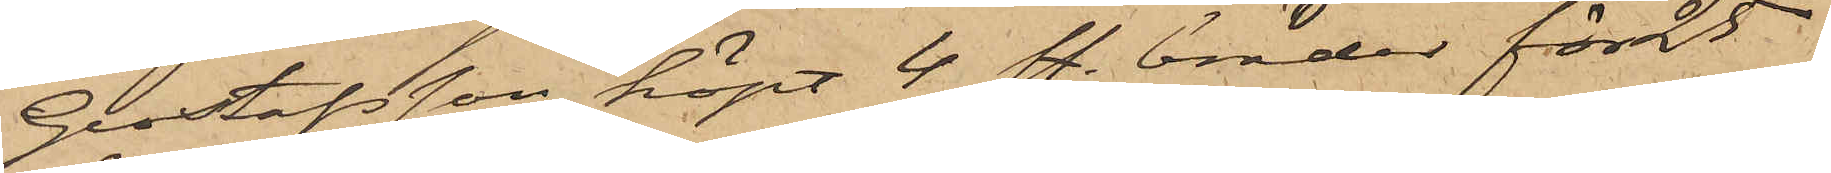Gustafsson köpt 4 st. bräder för 25
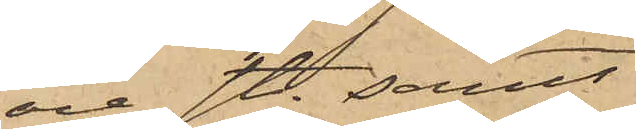öre st; samt
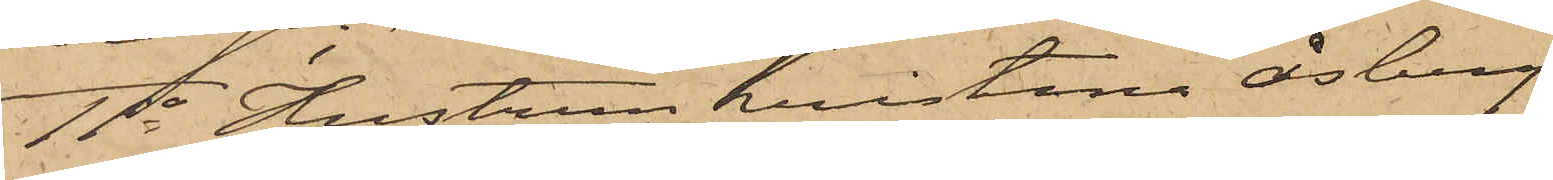11o Hustrun Kristina Åsberg,
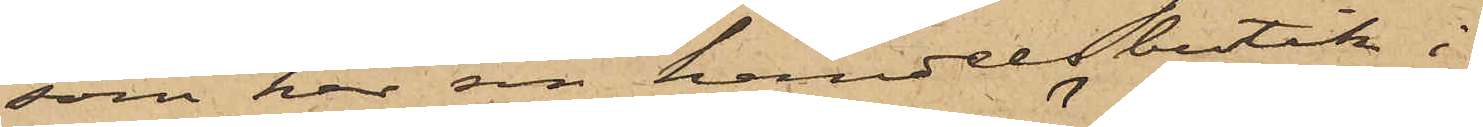som har sin handelsbutik i
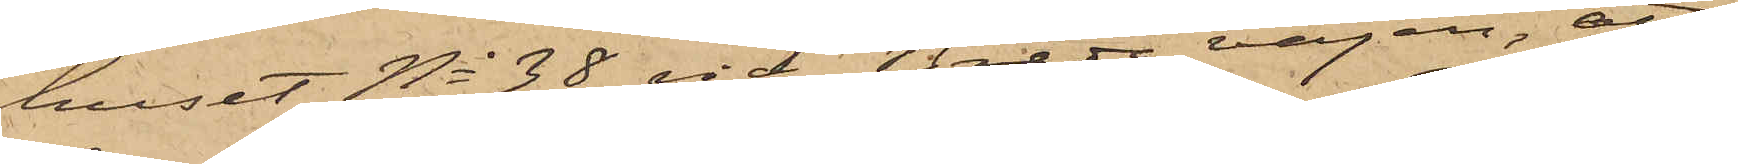huset No 38 vid Breda vägen, att
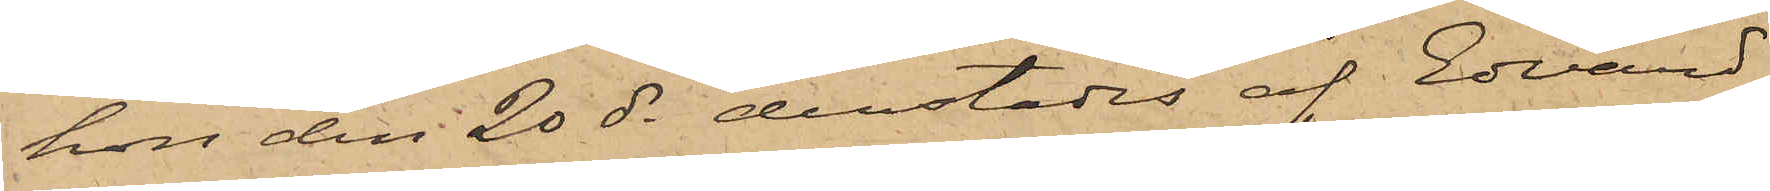hon den 20 ds derstädes af Edvard
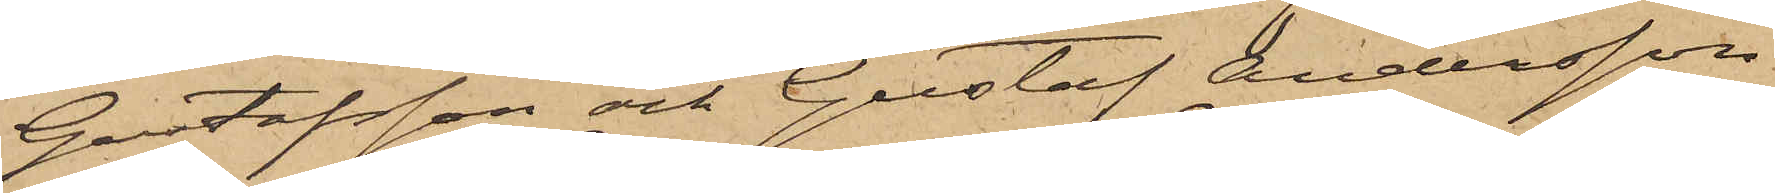Gustafsson och Gustaf Andersson
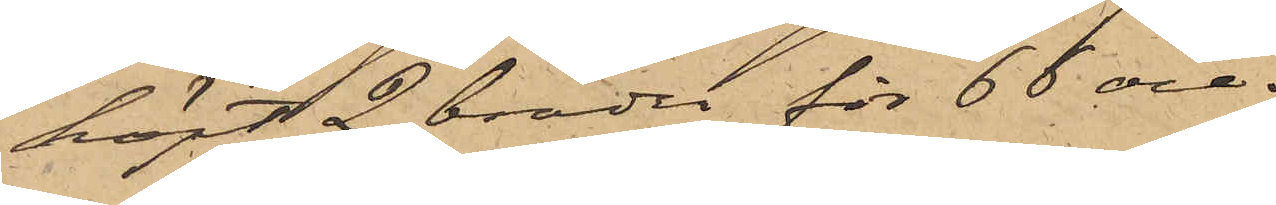köpt 2 bräder för 66 öre.
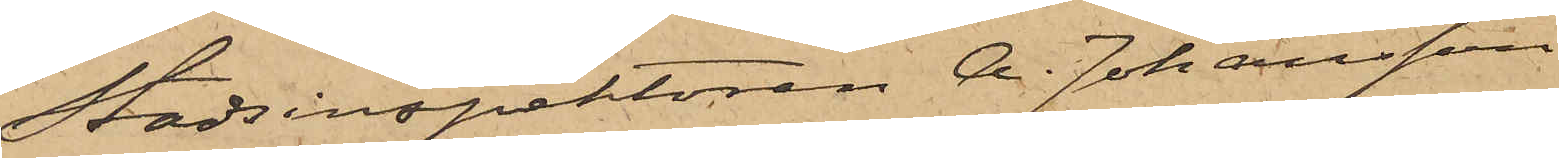Stadsinspektoren A. Johansson
